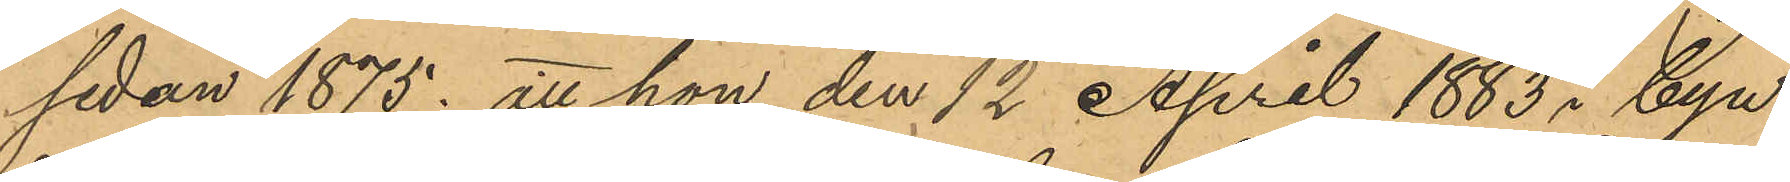sedan 1875; att hon den 12 April 1883 i byn
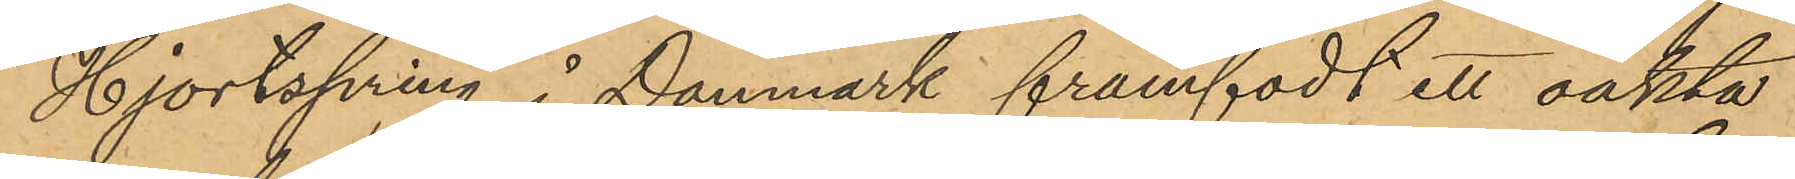Hjortspring i Danmark framfödt ett oäkta
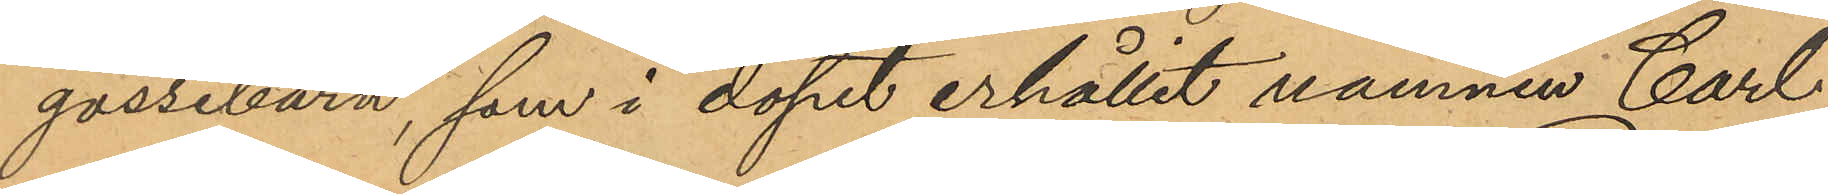gossebarn, som i dopet erhållit namnen Carl
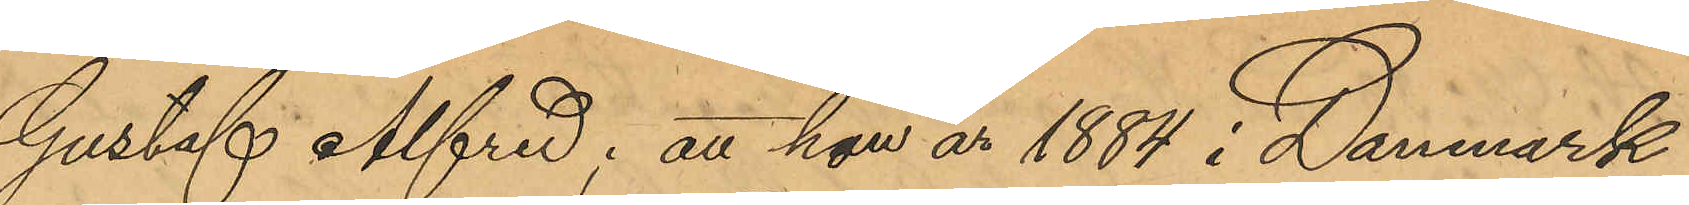Gustaf Alfred; att hon år 1884 i Danmark
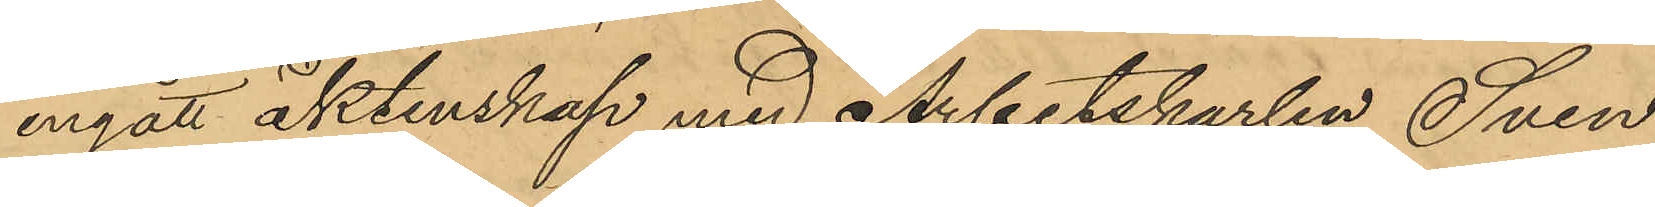ingått äktenskap med Arbetskarlen Sven
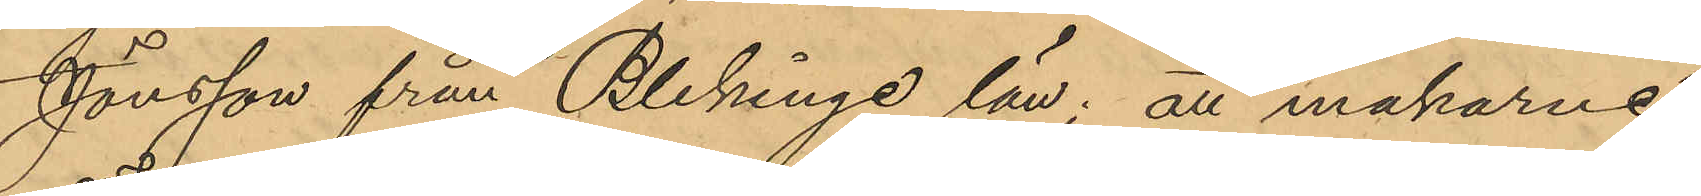Jönsson från Blekinge län; att makarne
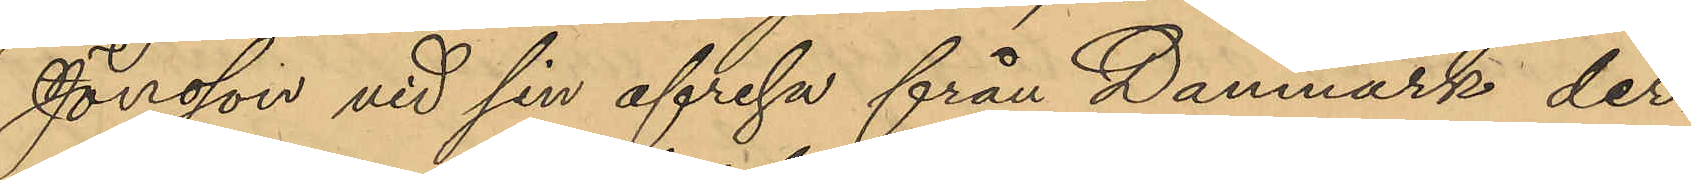Jönsson vid sin afresa från Danmark der¬
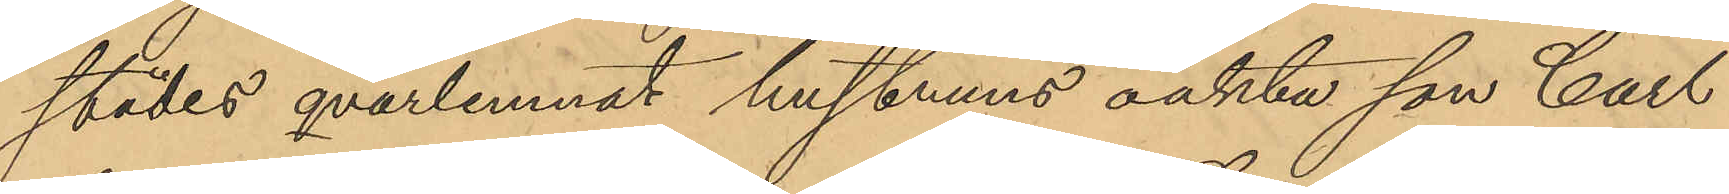städes qvarlemnat hustruns oäkta son Carl
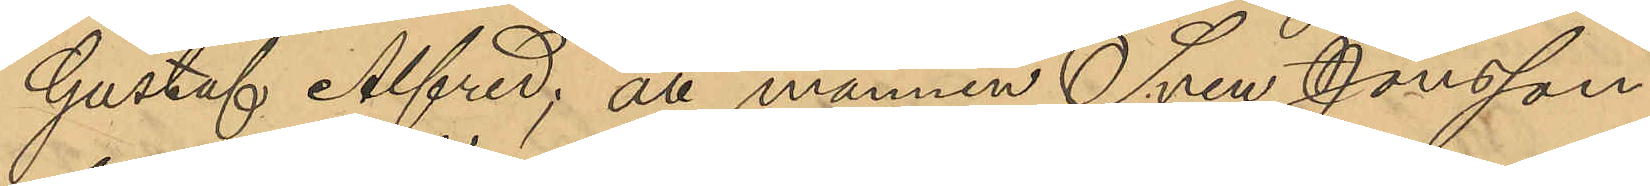Gustaf Alfred, att mannen Sven Jönsson
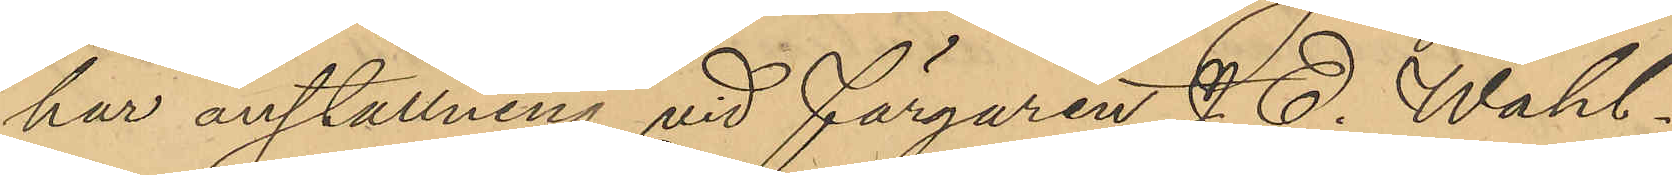har anställning vid Färgaren J. E. Wahl¬
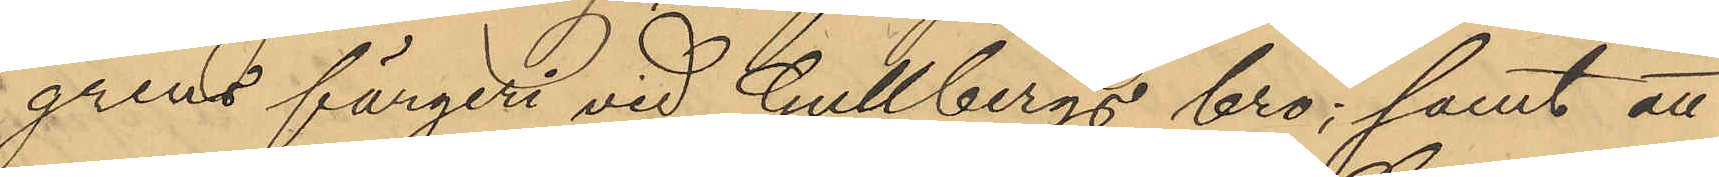grens färgeri vid Gullbergs bro; samt att
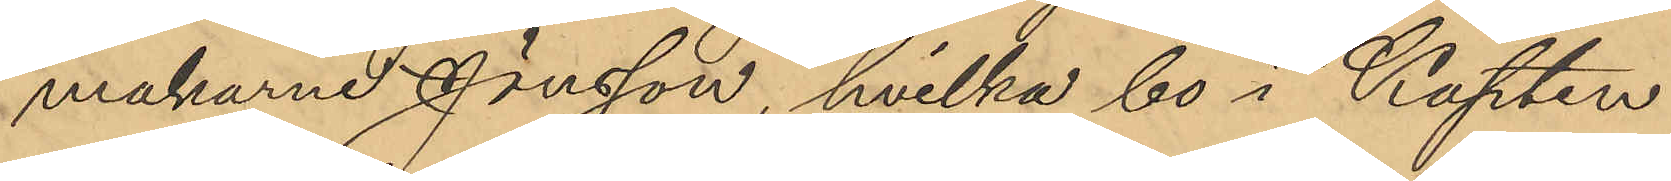makarne Jönsson, hvilka bo i Kapten
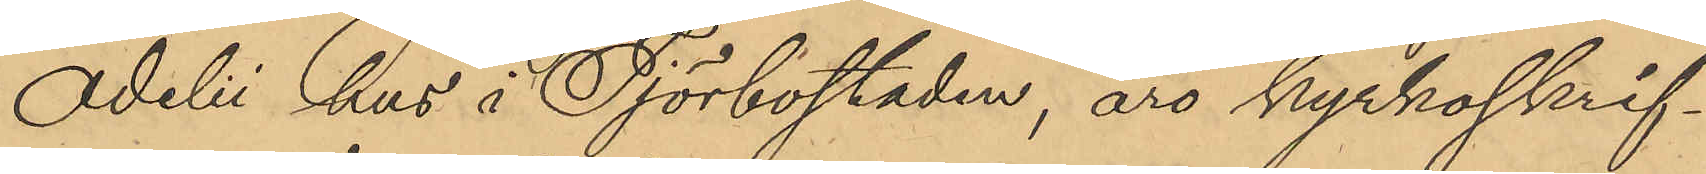Adeli hus å Tjörbostaden, äro kyrkoskrif¬
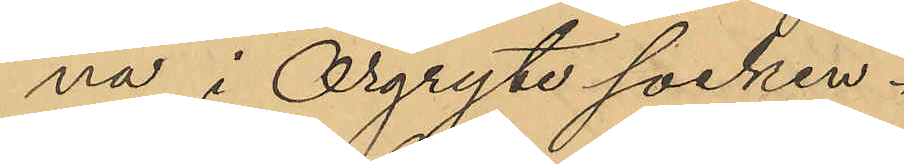na i Örgryte socken.
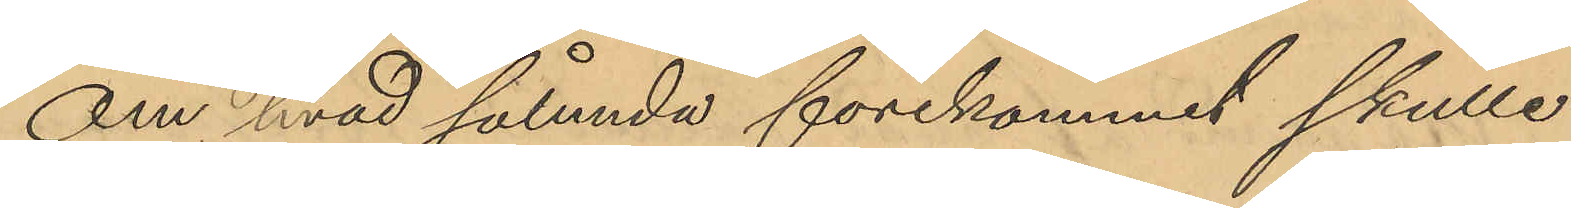Om hvad sålunda förekommit skulle
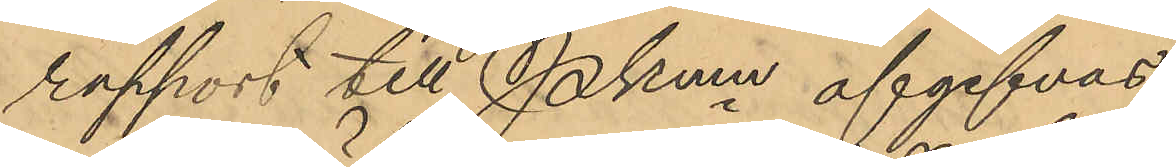rapport till Pkmn afgifvas.
